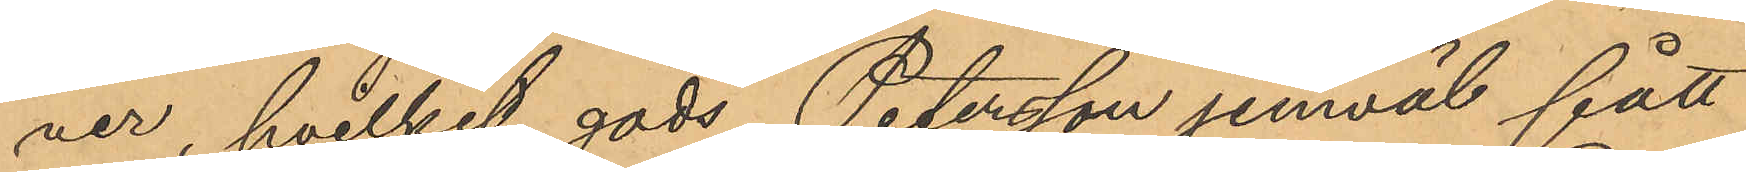ver, hvilket gods Petersson jemväl fått
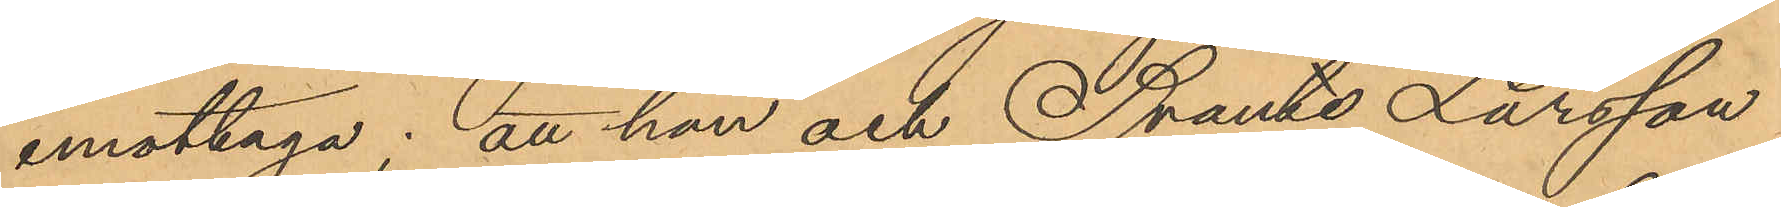emottaga; att han och Svante Larsson
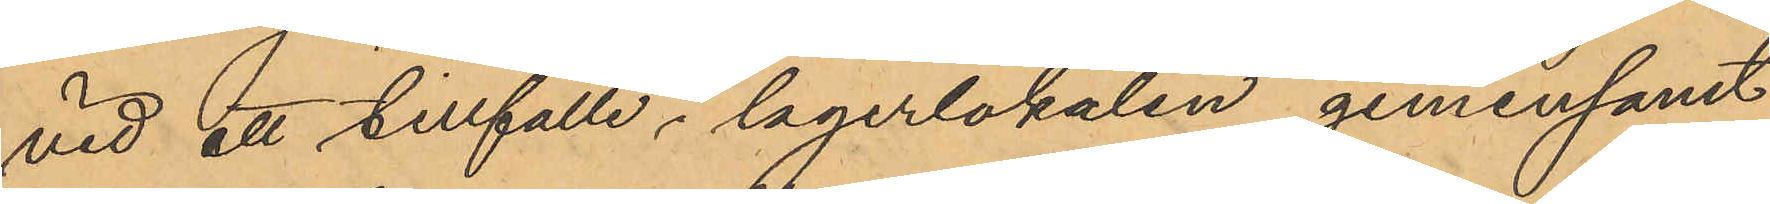vid ett tillfälle i lagerlokalen gemensamt
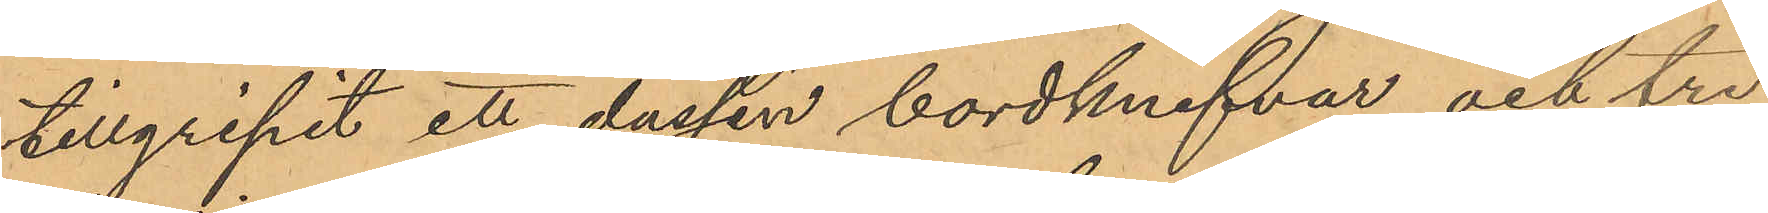tillgripit ett dussin bordknifvar och tre
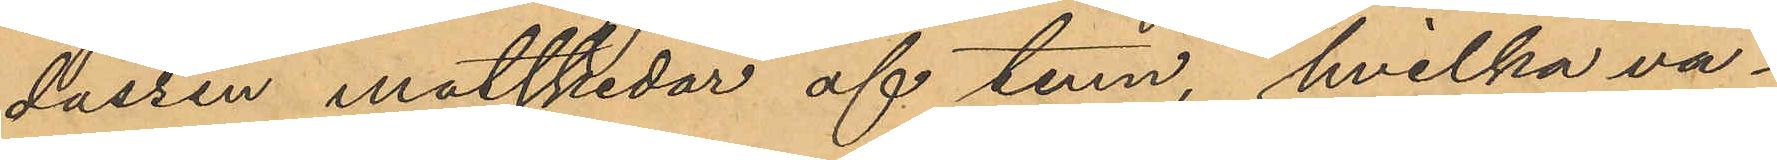dussin matskedar af tenn, hvilka va¬
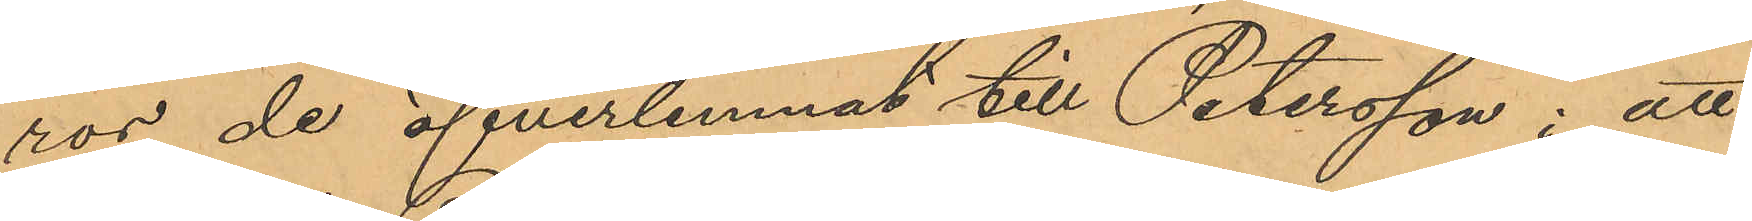ror de öfverlemnat till Petersson; att
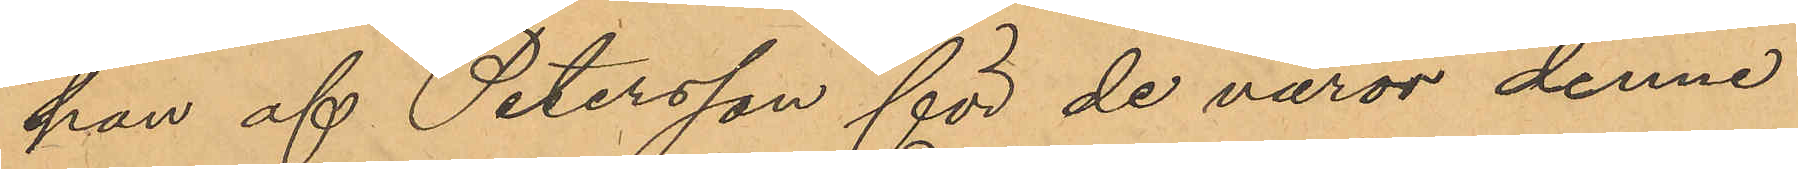han af Petersson för de varor denne
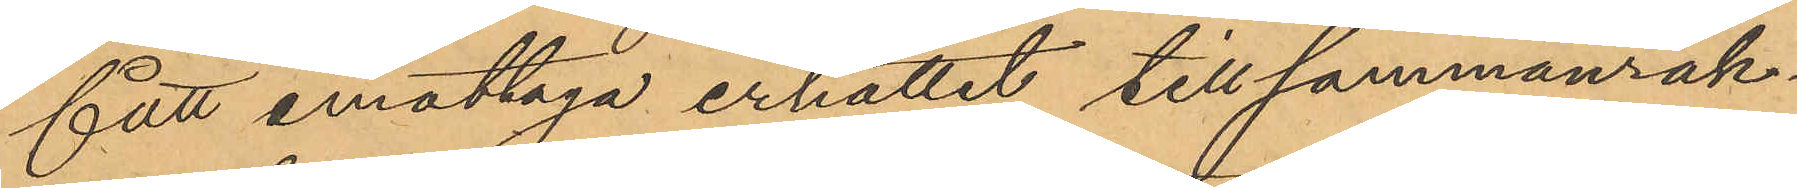fått emottaga erhållit tillsammanräk¬
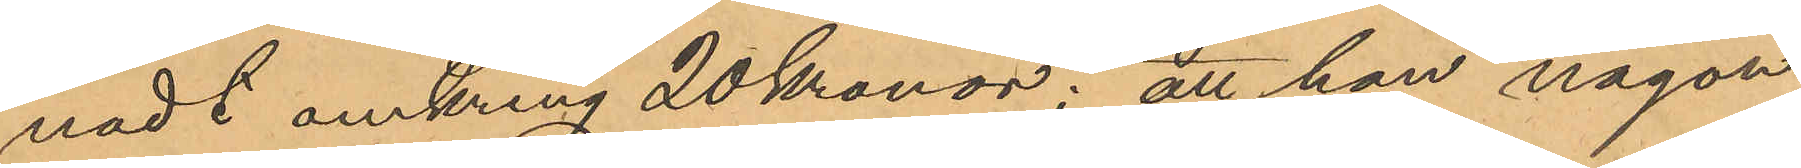nadt omkring 20 Kronor; att han någon
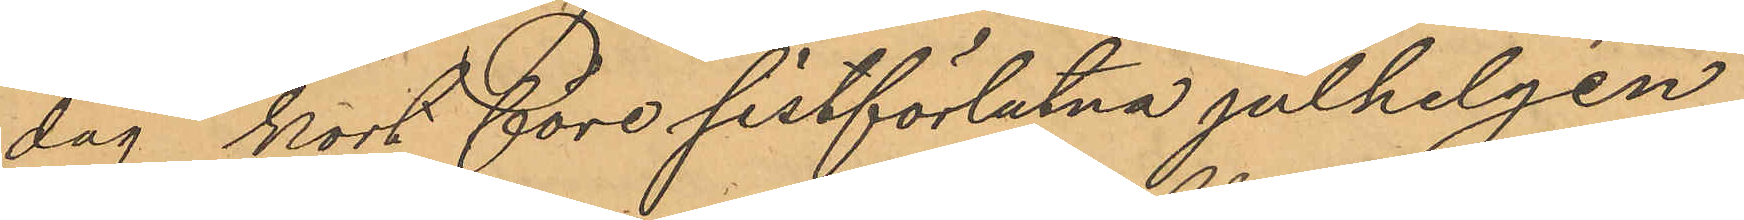dag kort före sistförlutna julhelgen
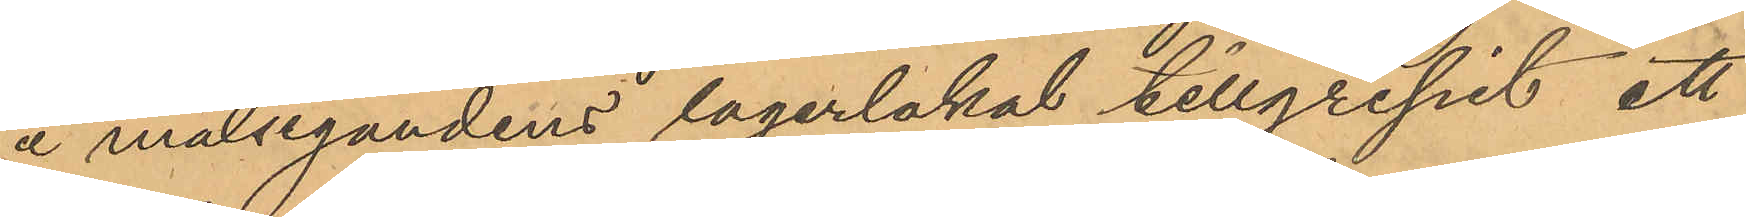å målsegandens lagerlokal tillgripit ett
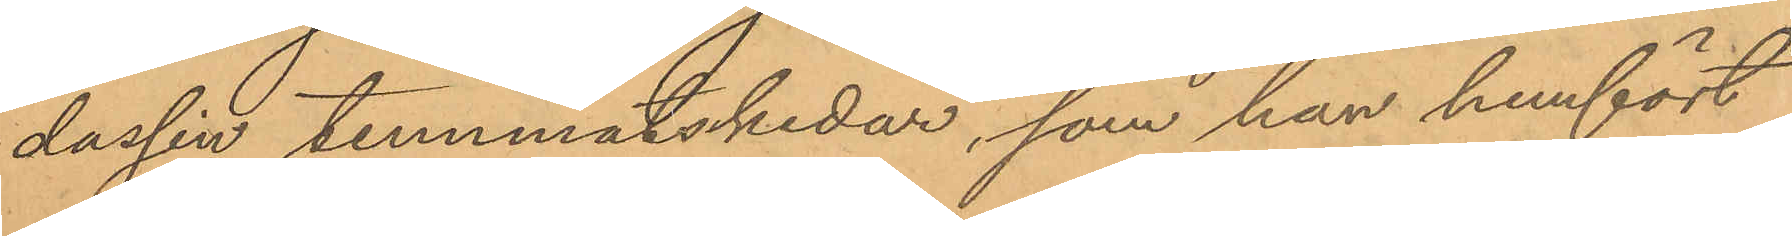dussin tennmatskedar, som han hemfört
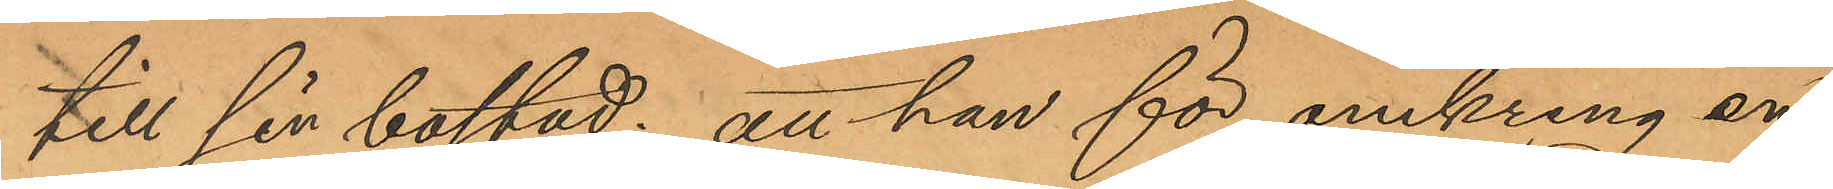till sin bostad; att han för omkring en
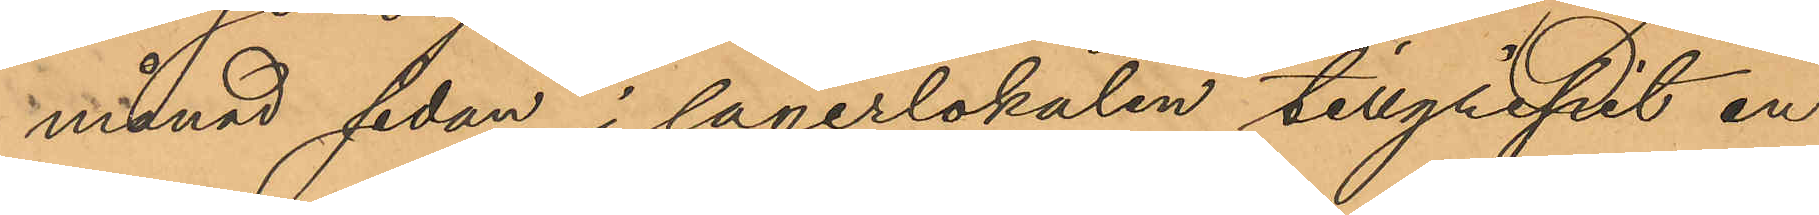månad sedan i lagerlokalen tillgripit en
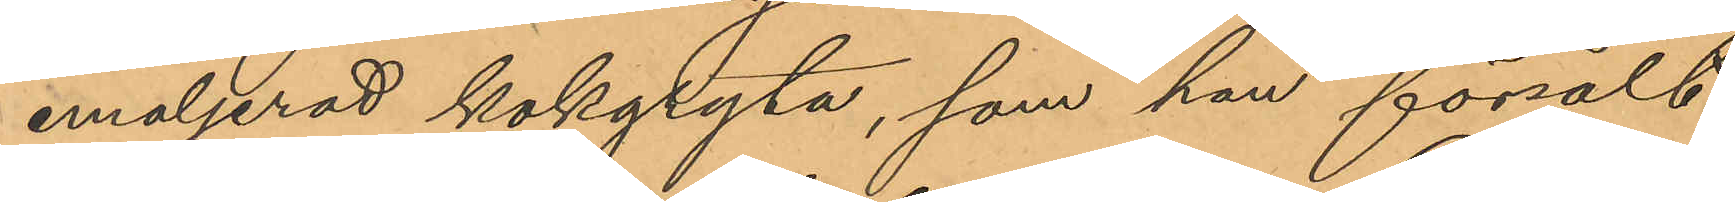emaljerad kokgryta, som han försålt
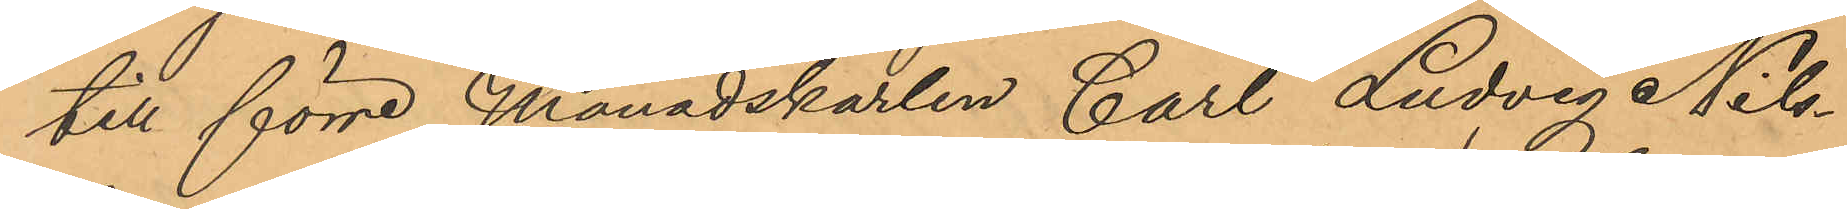till förre Månadskarlen Carl Ludvig Nils¬
